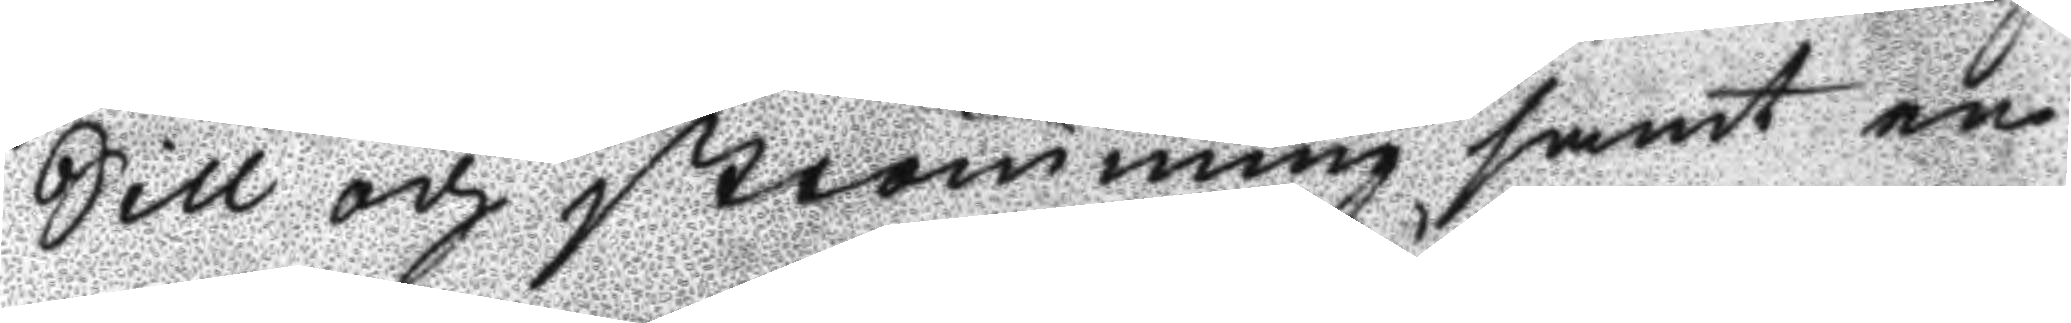Sill och Strömming samt en
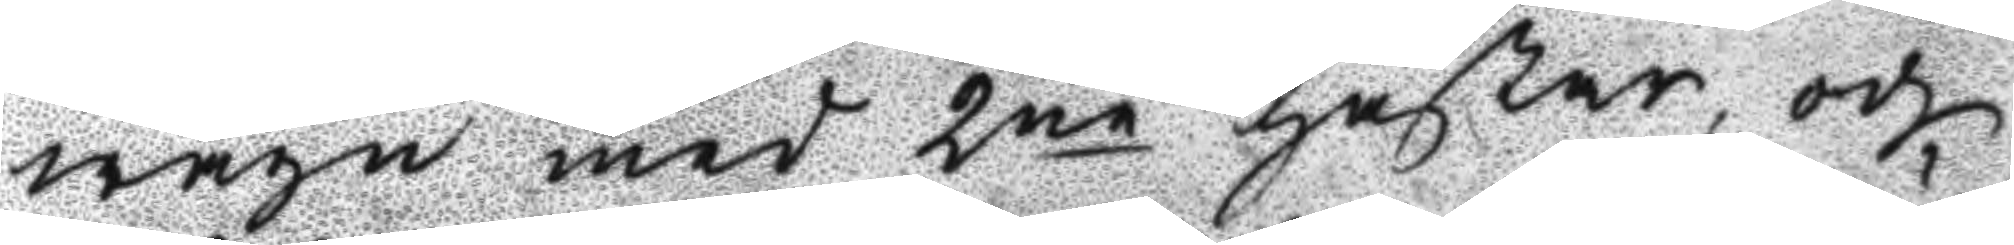wagn med 2ne hästar, och
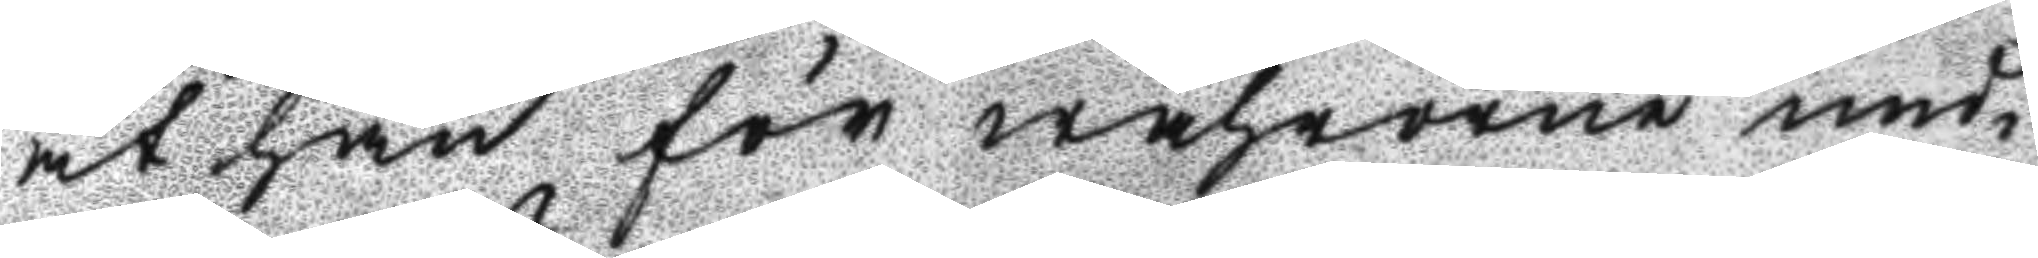at han för wahrorne und¬
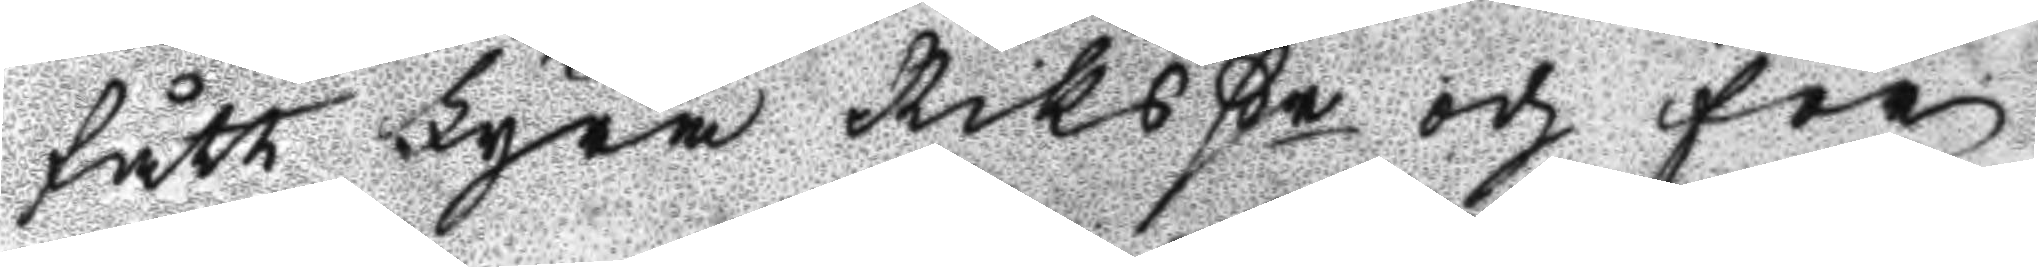fått Fyra Riks ßr och för
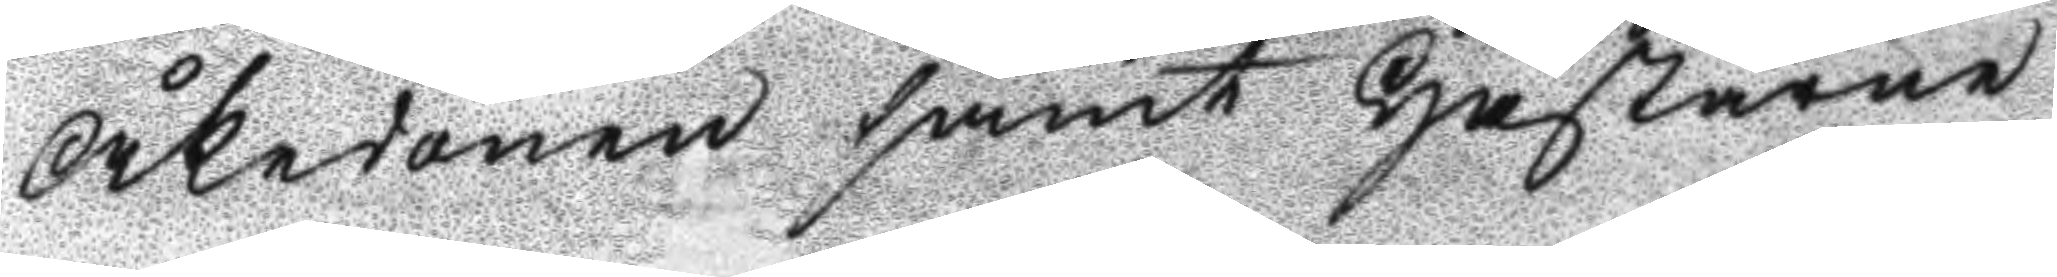Åkdonen samt Hästarne
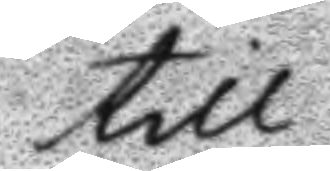till
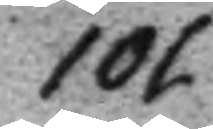101
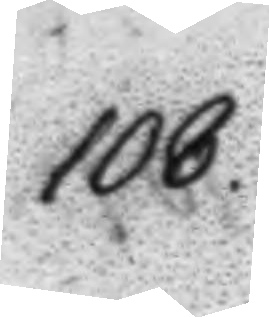108.
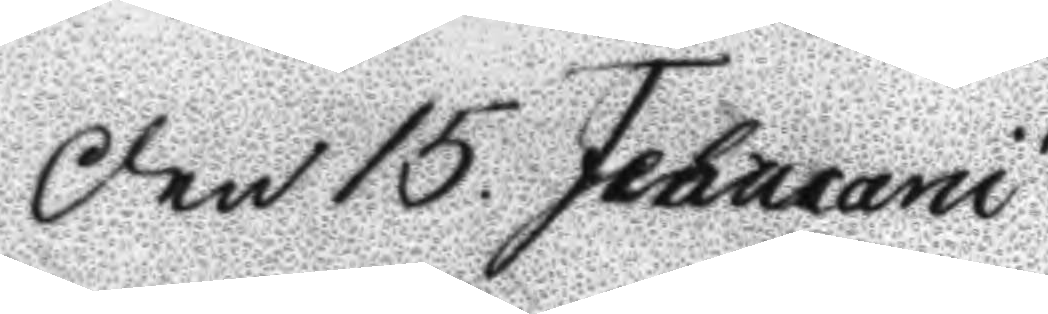Den 15. Februarii
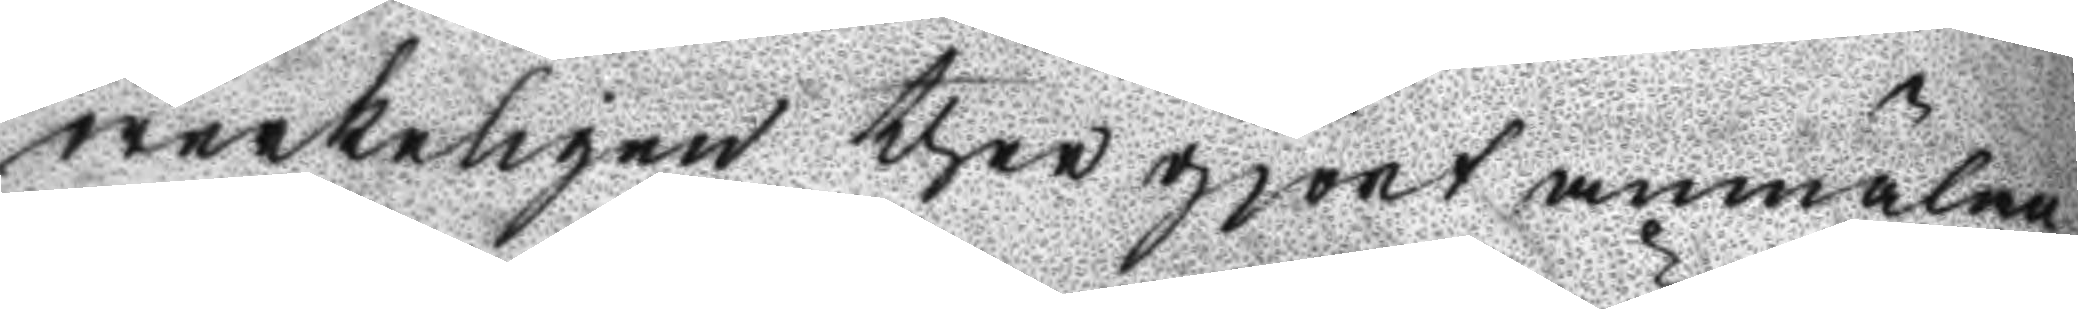werkeligen ther gjort anmälan
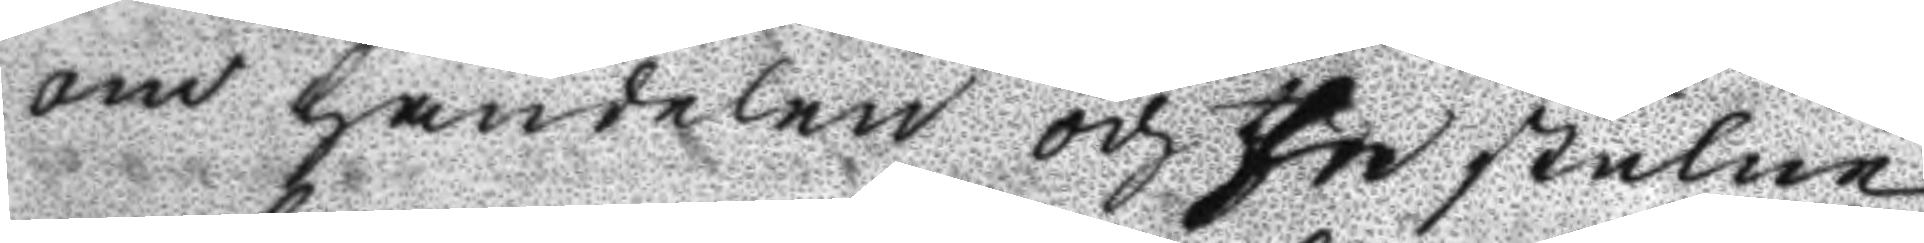om handelen och the stulne
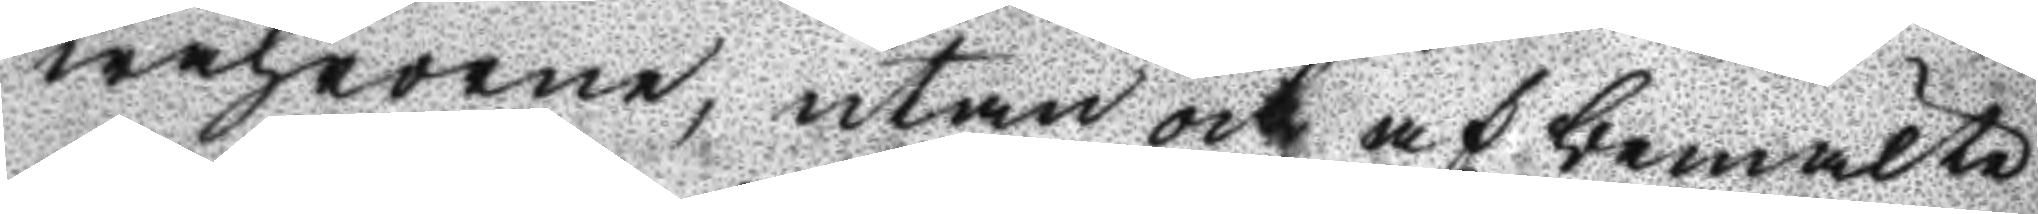wahrorne, utan och af bemälte
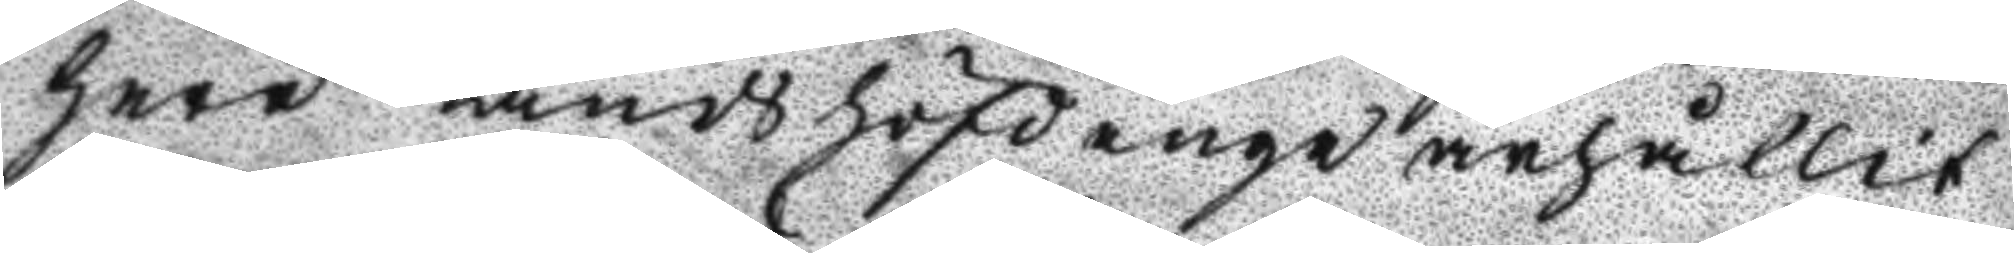Herr Landshöfdinge ärhållit
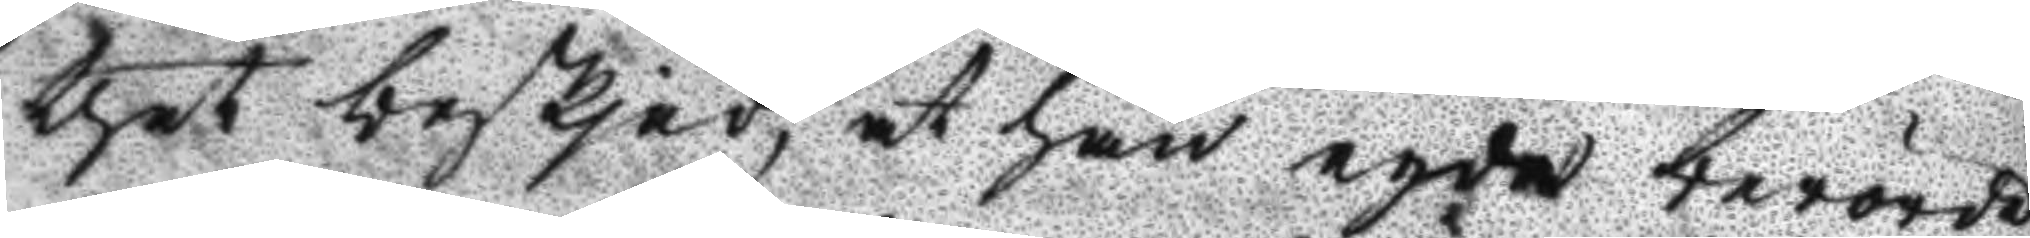thet besked, at han egde berörde
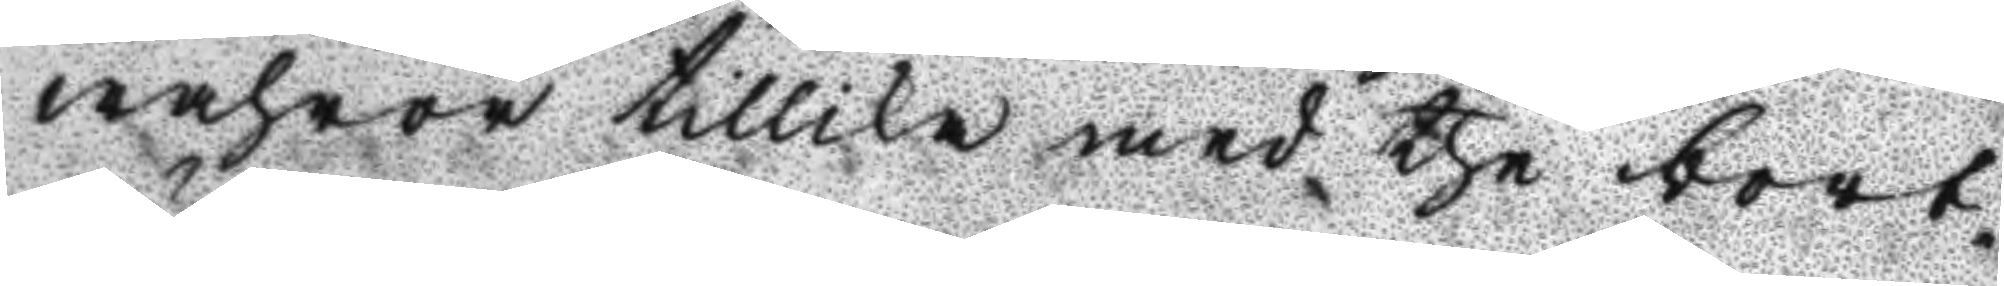wahror tillika med the bort¬
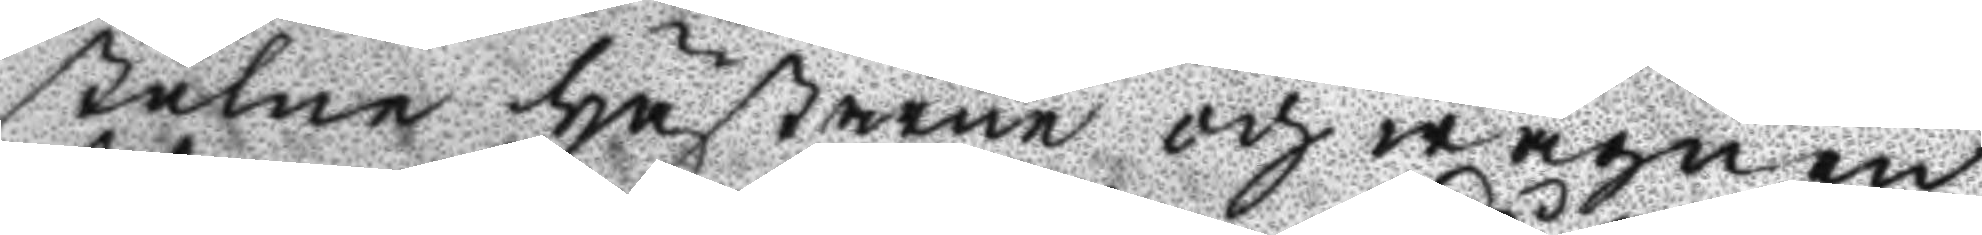stulne hästarne och wagnen
